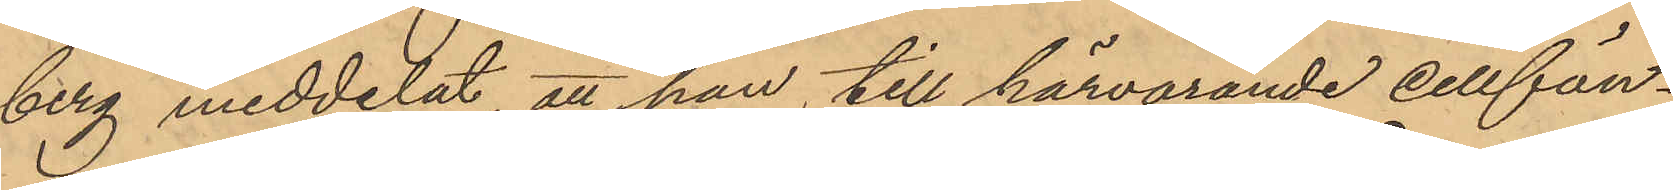berg meddelat, att han till härvarande cellfän¬
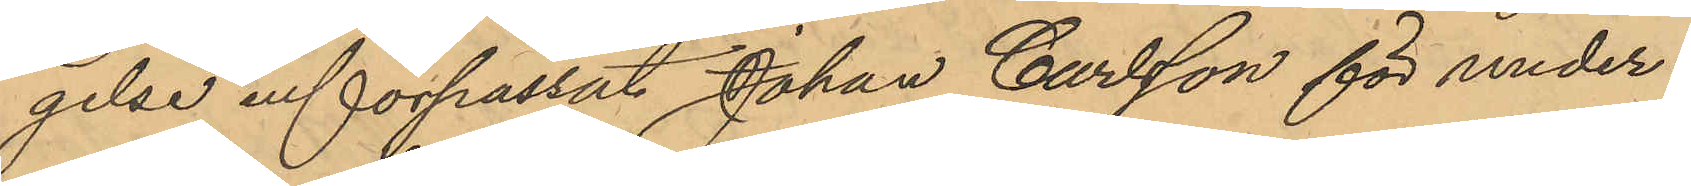gelse införpassat Johan Carlsson för under¬
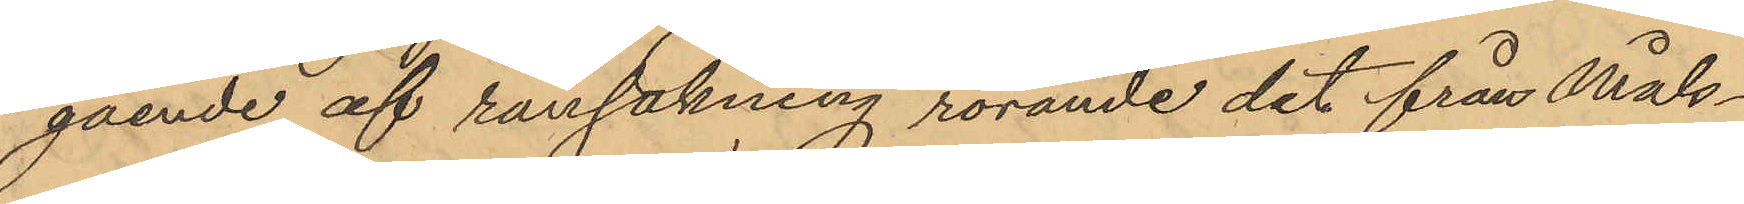gående af rannsakning rörande det från Måls¬
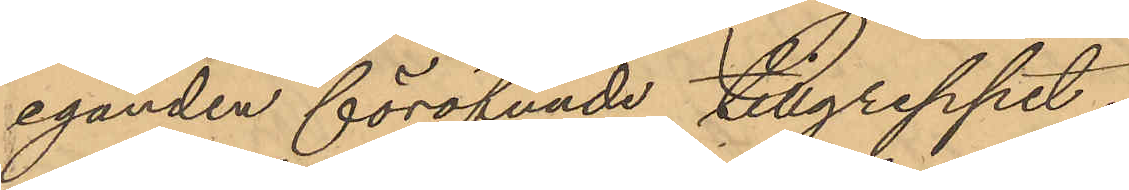eganden föröfvade tillgreppet.
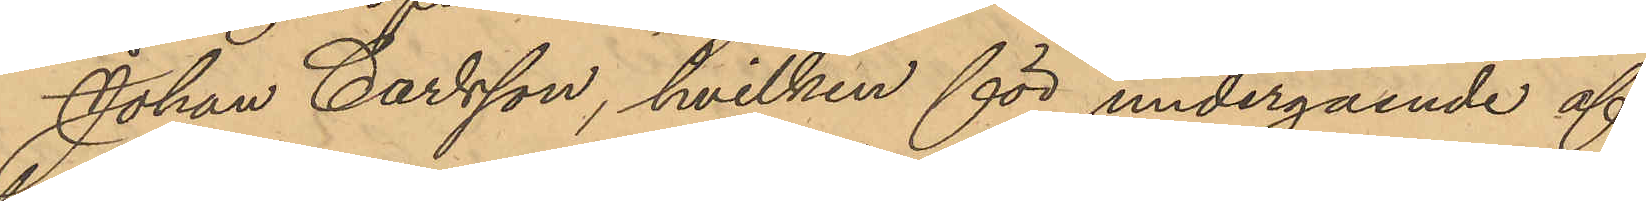Johan Carlsson, hvilken för undergående af
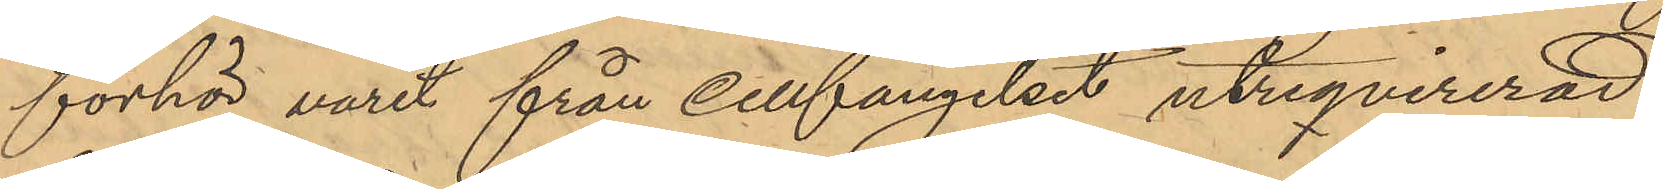förhör varit från cellfängelset utreqvirerad
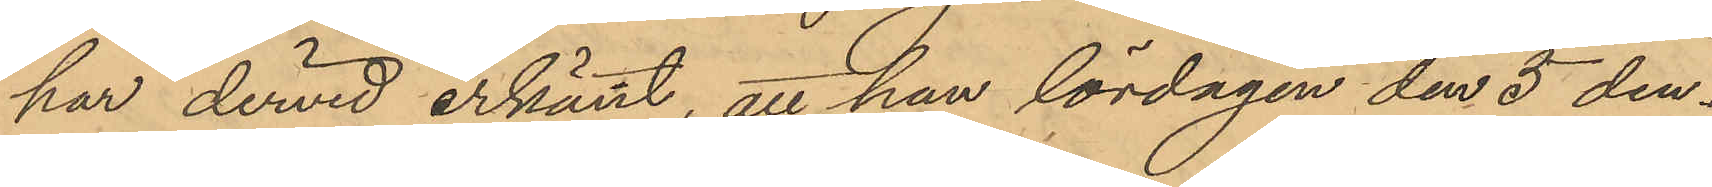har dervid erkänt, att han lördagen den 5 den¬
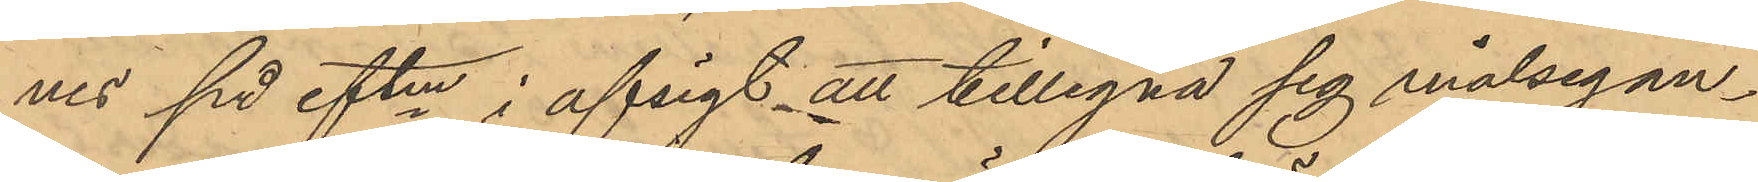nes på eftm i afsigt att tillegna sig målsegan¬
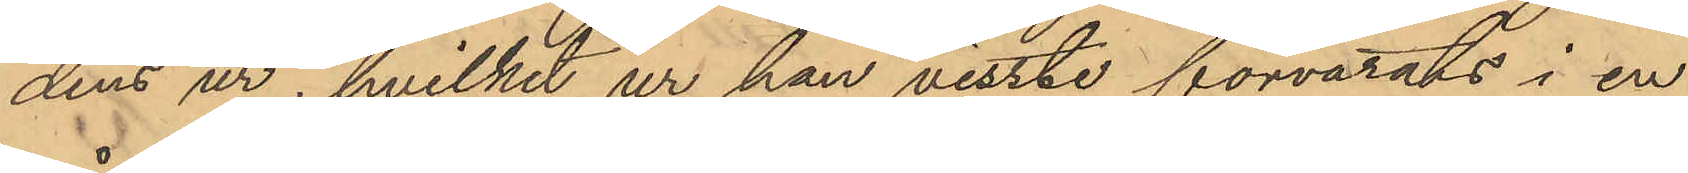dens ur, hvilket ur han visste förvarats i en
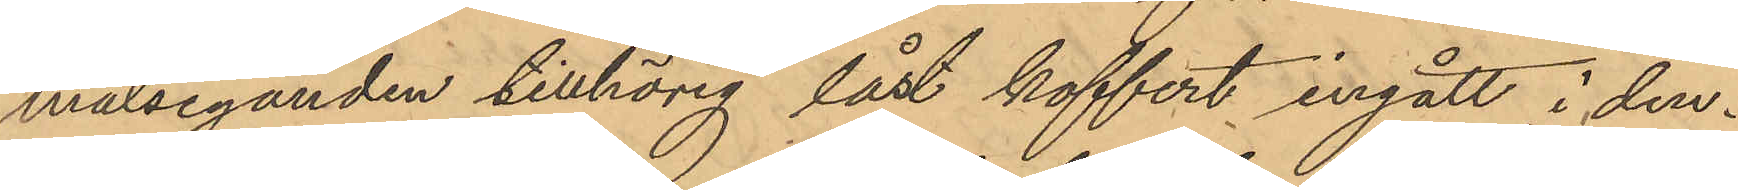målseganden tillhörig låst koffert ingått i den¬
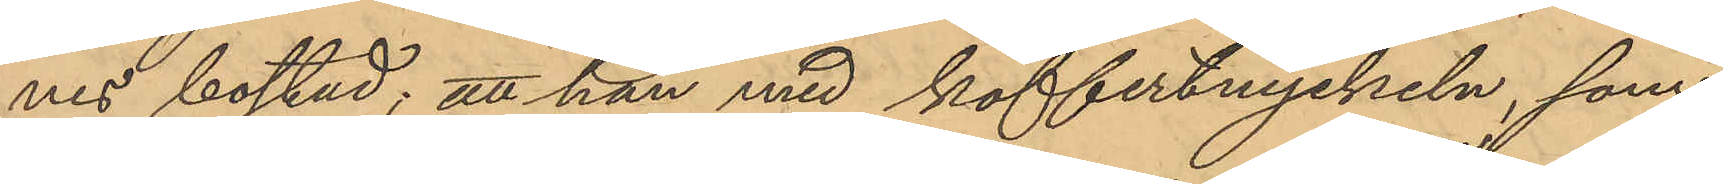nes bostad; att han med koffertnyckeln, som
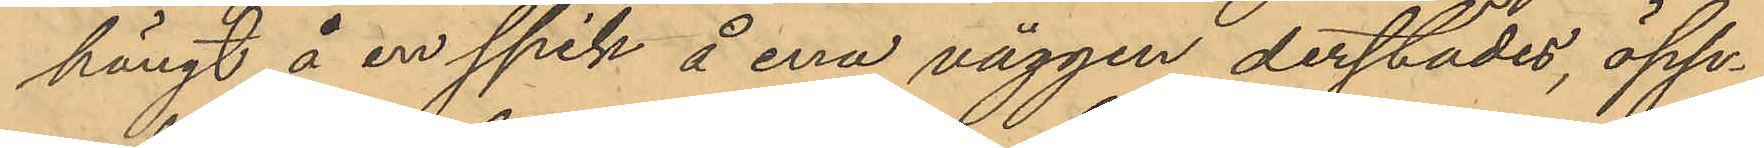hängt å en spik å ena väggen derstädes, öpp¬
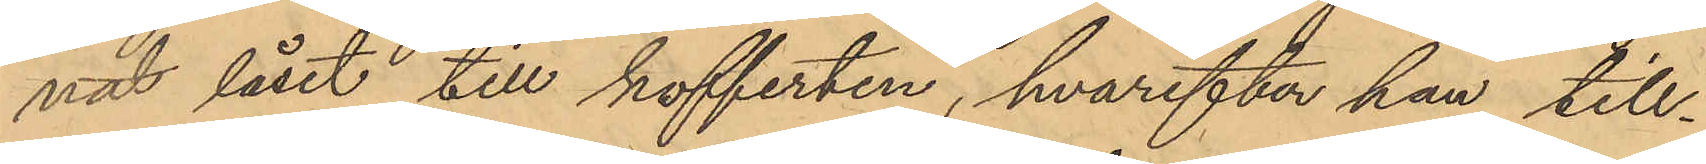nat låset till kofferten, hvarefter han till¬
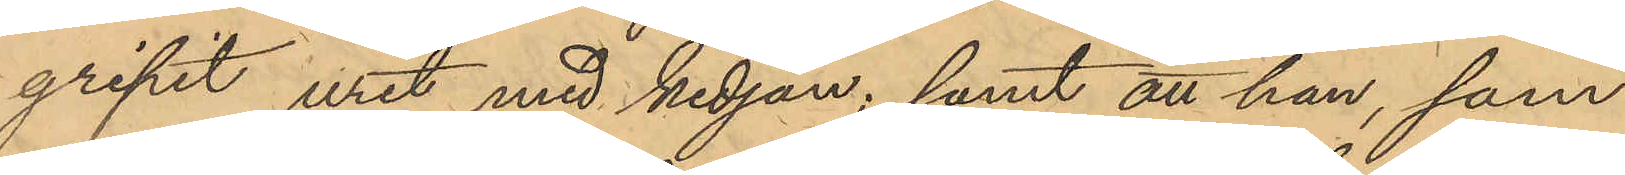gripit uret med kedjan; samt att han, som
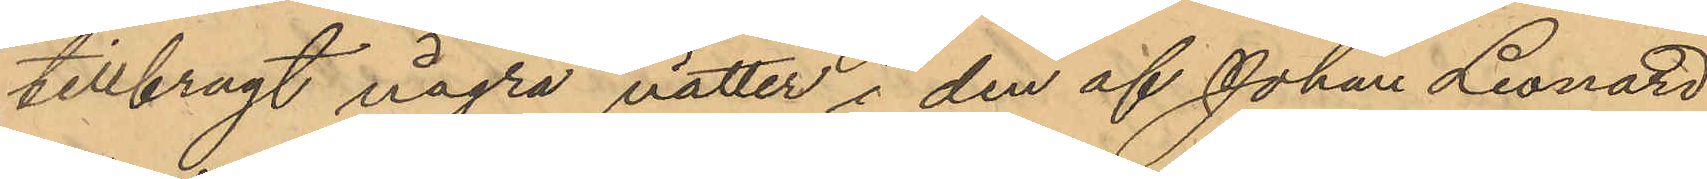tillbragt några nätter i den af Johan Leonard
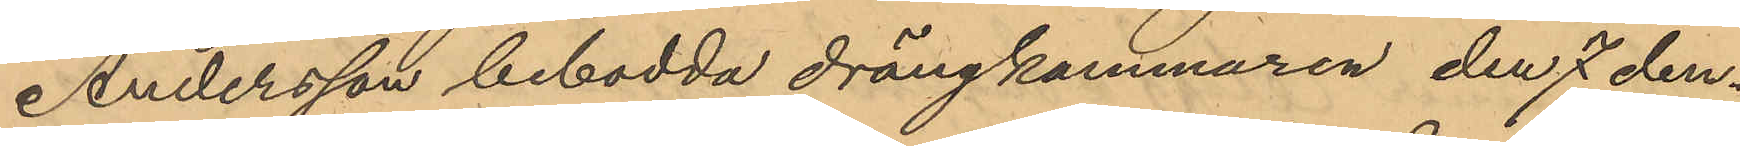Andersson bebodda drängkammaren den 7 den¬
